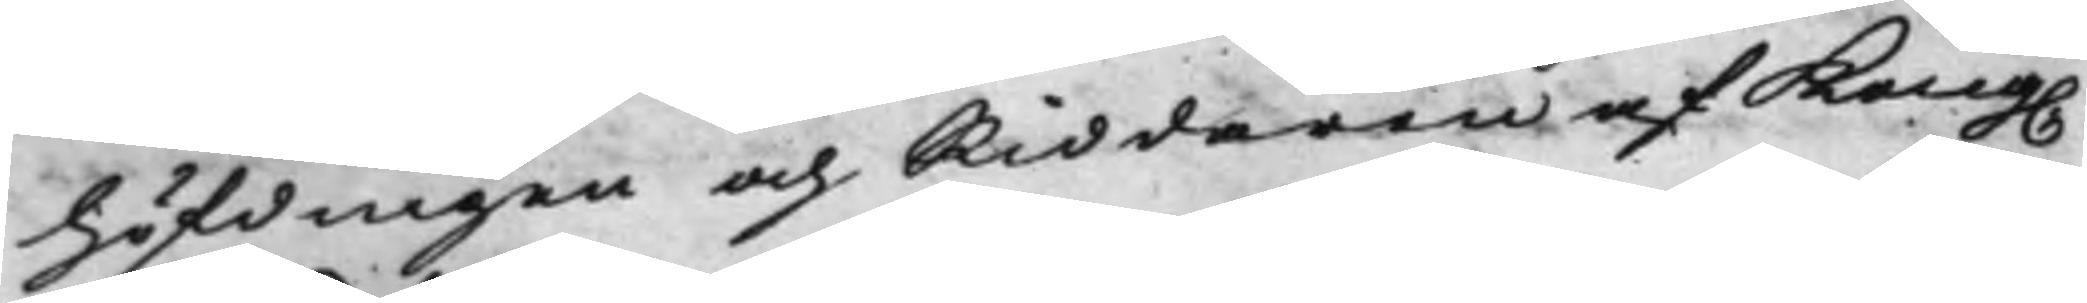höfdingen och Riddaren af Kong.
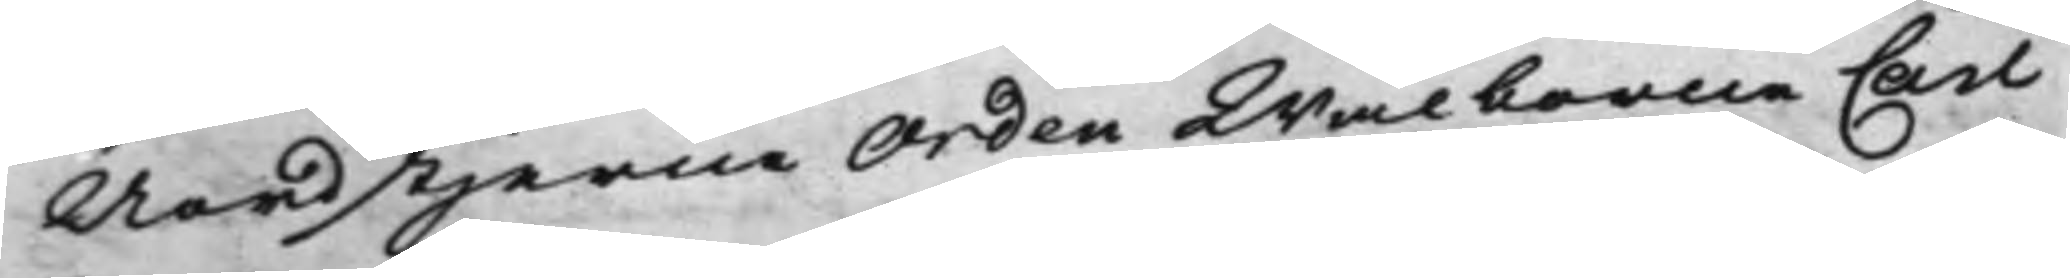Nordstjerne Orden Wälborne Carl
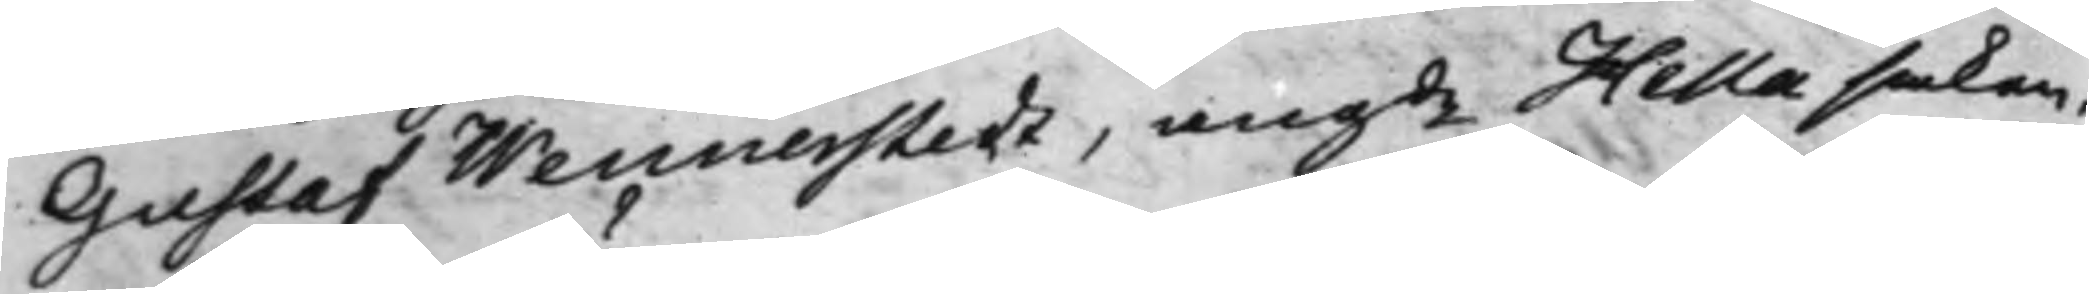Gustaf Wennerstedt, angde Hellasaken.
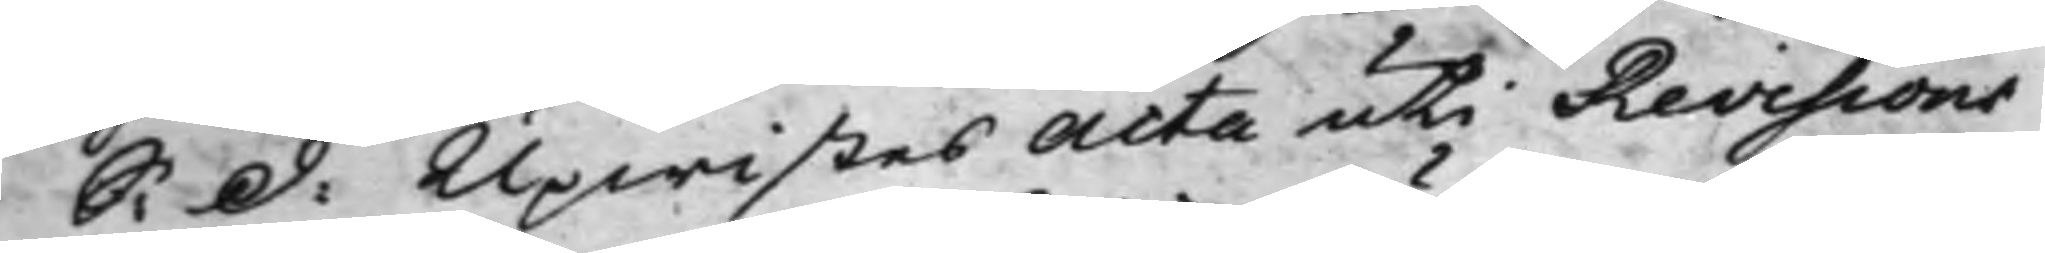S: d: Upwistes Acta uti Revisions
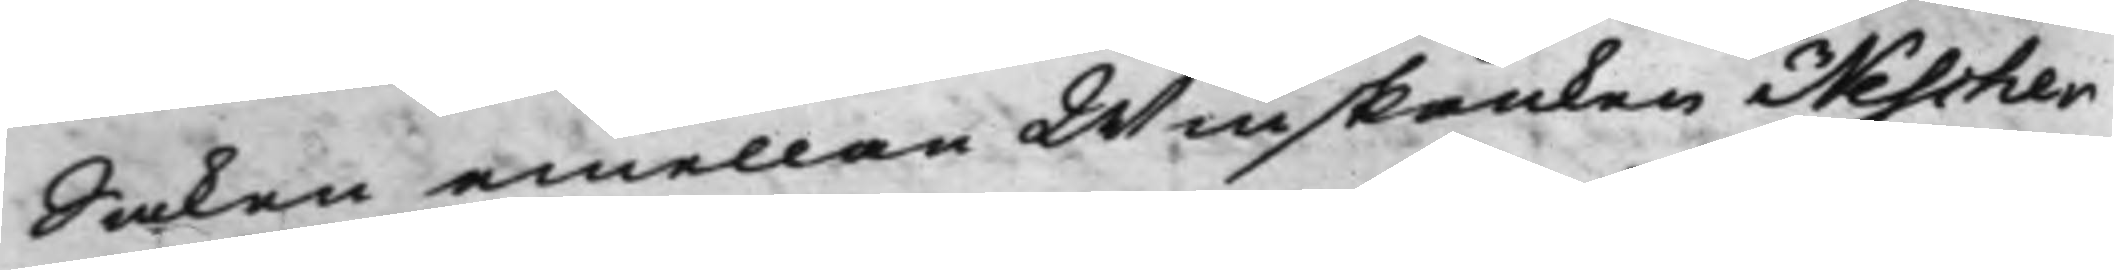Saken emellan Winskänken Nescher
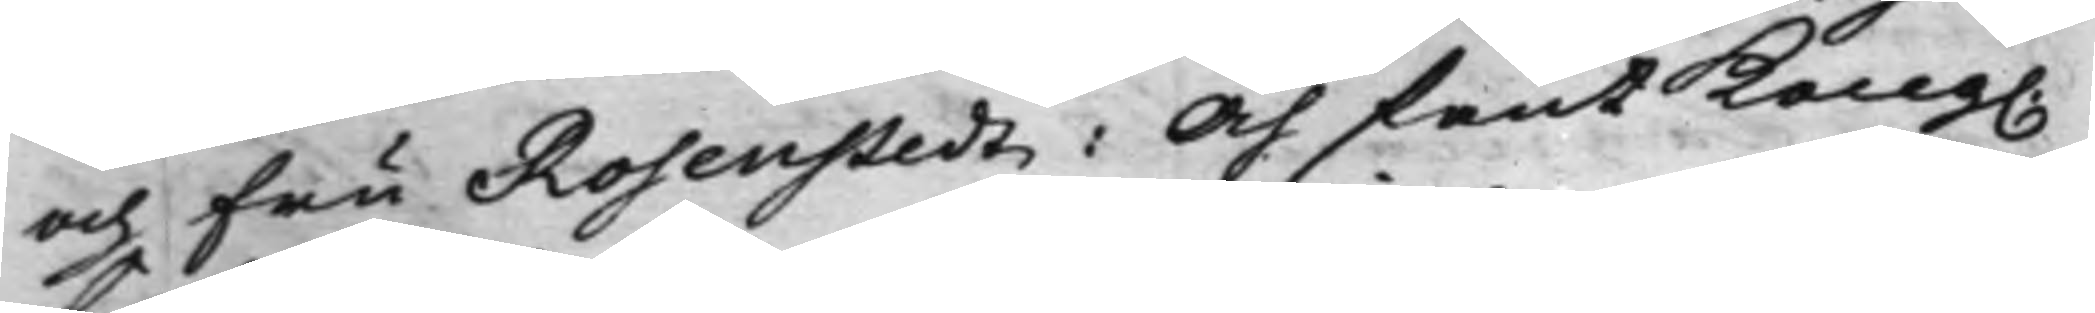och Fru Rosenstedt: Och fant Kong.
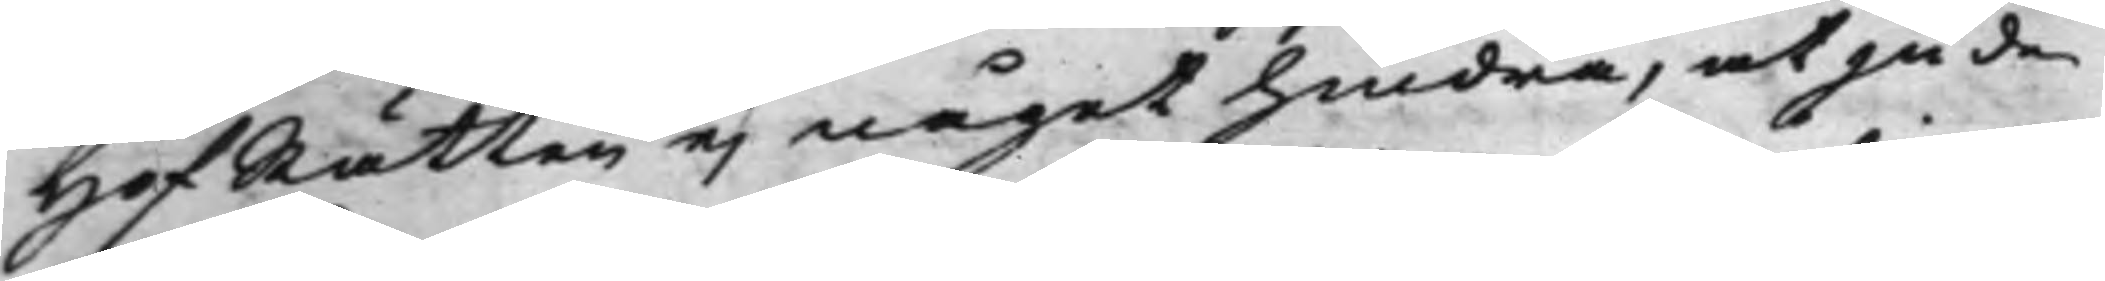HofRätten ej något hindra, at ju de
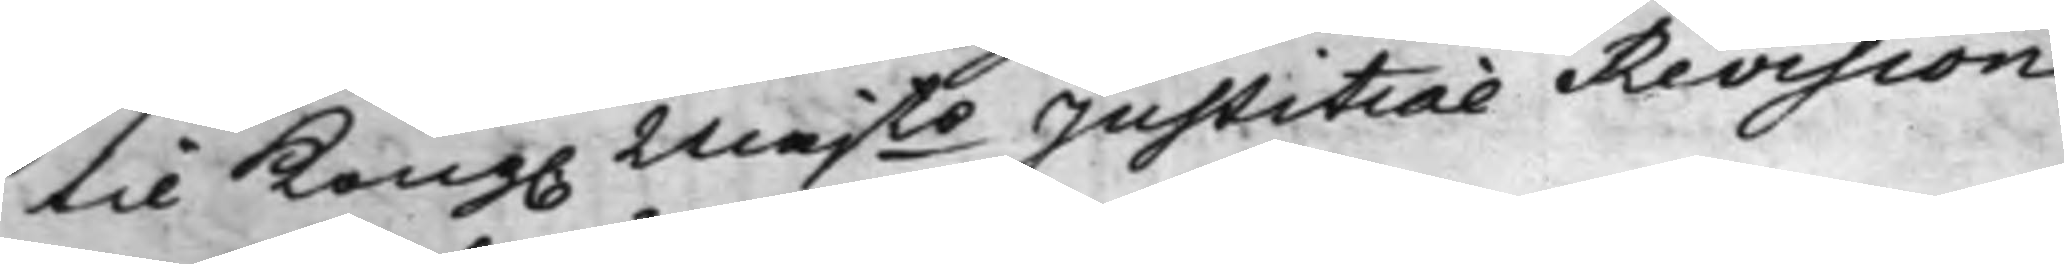til Kong. Majts Justitiae Revision
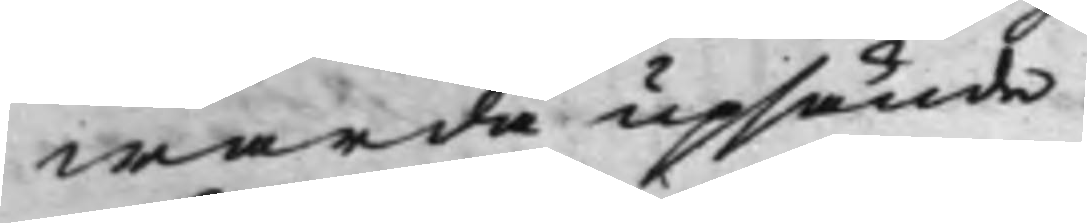warda upsände.
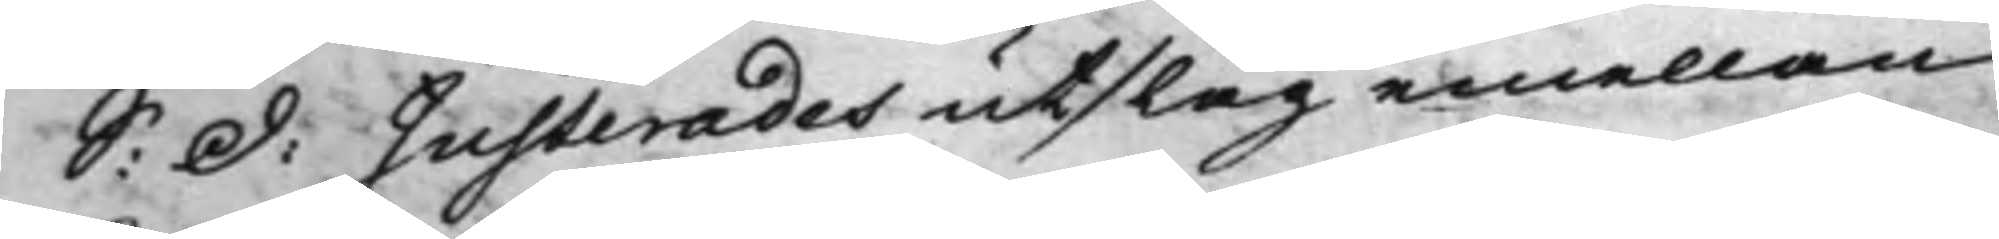S: d: Justerades utslag emellan
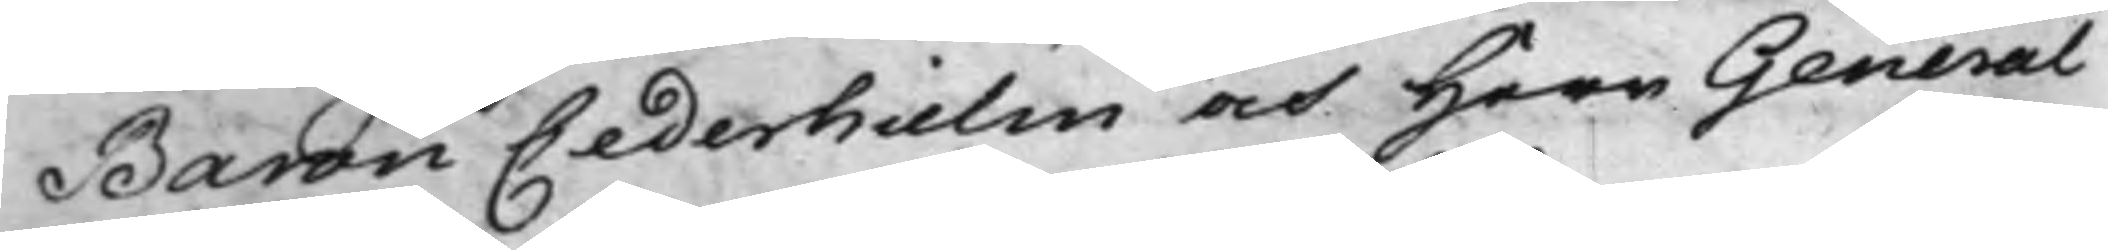Baron Cederhielm och Herr General¬
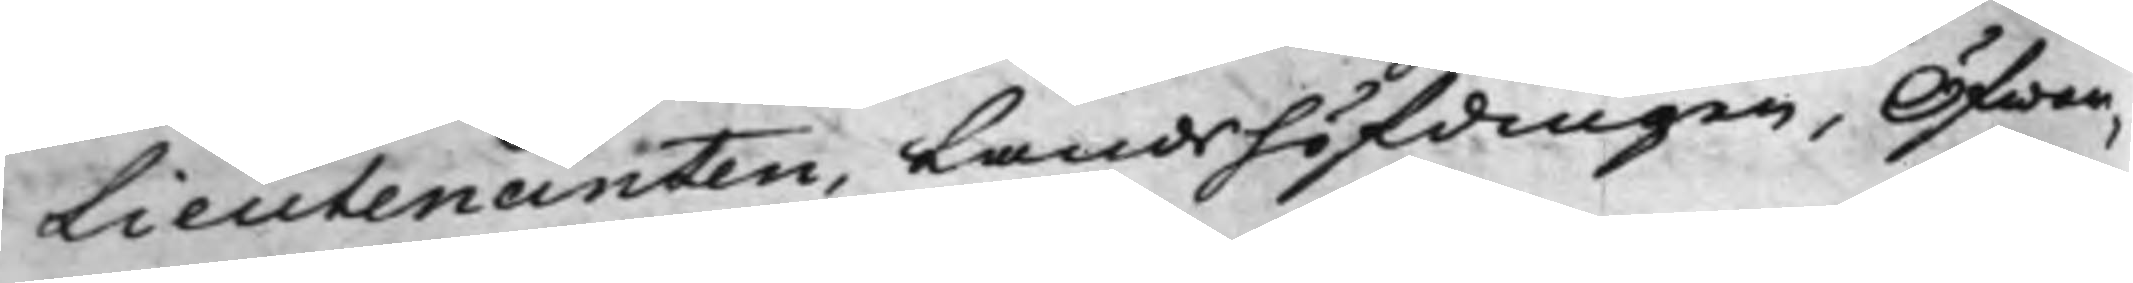Lieutenanten, Landshöfdingen, Öfwer¬
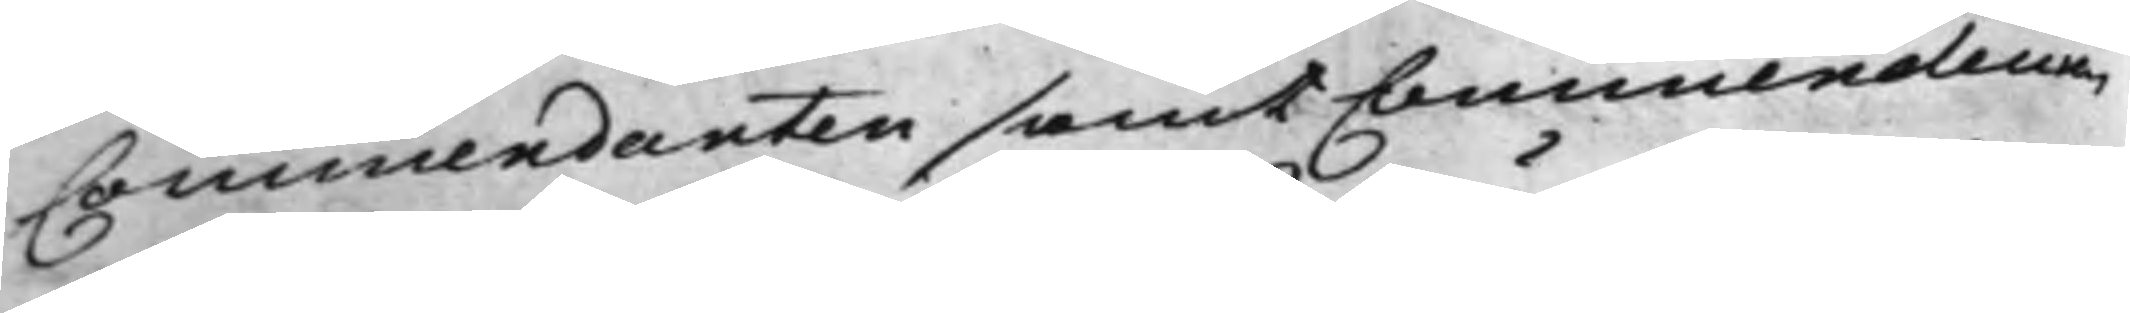Commendanten samt Commendeuren
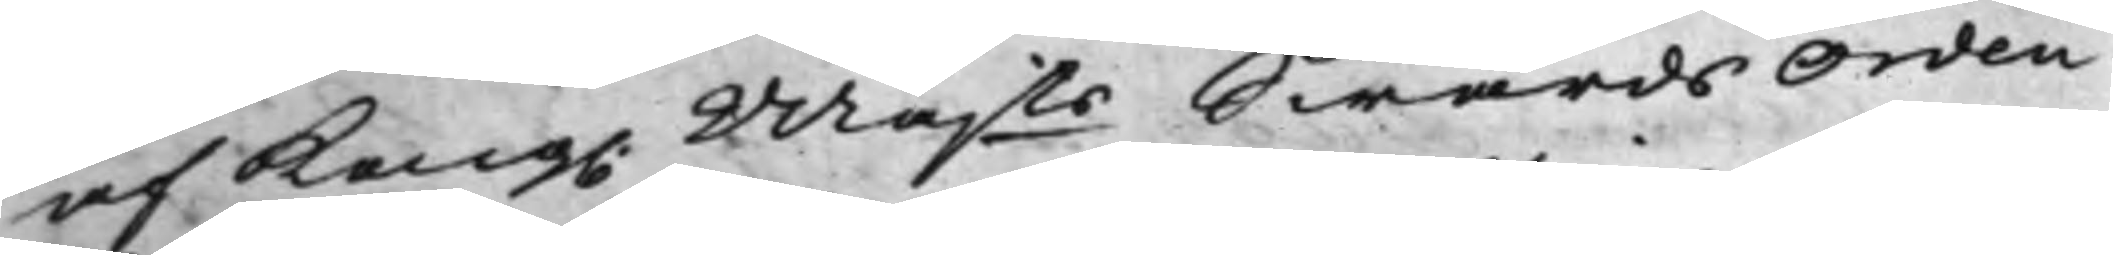af Kong. Majts SwärdsOrden
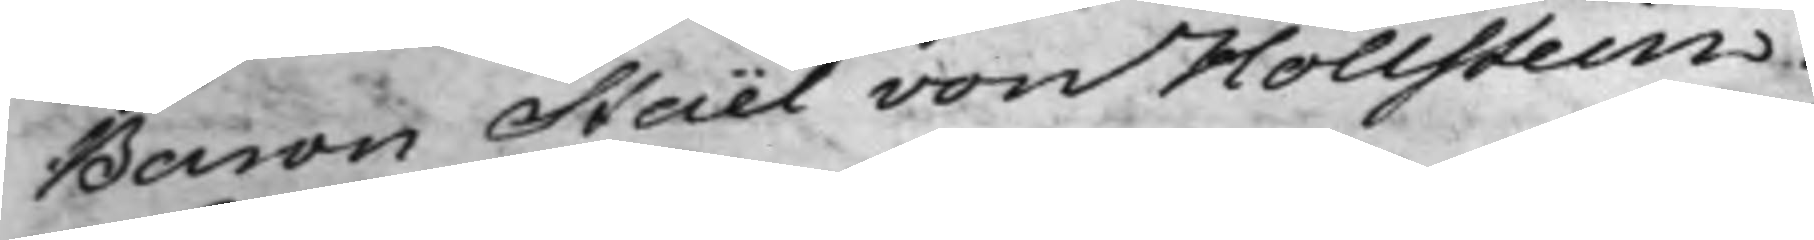Baron Staël von Hollstein.
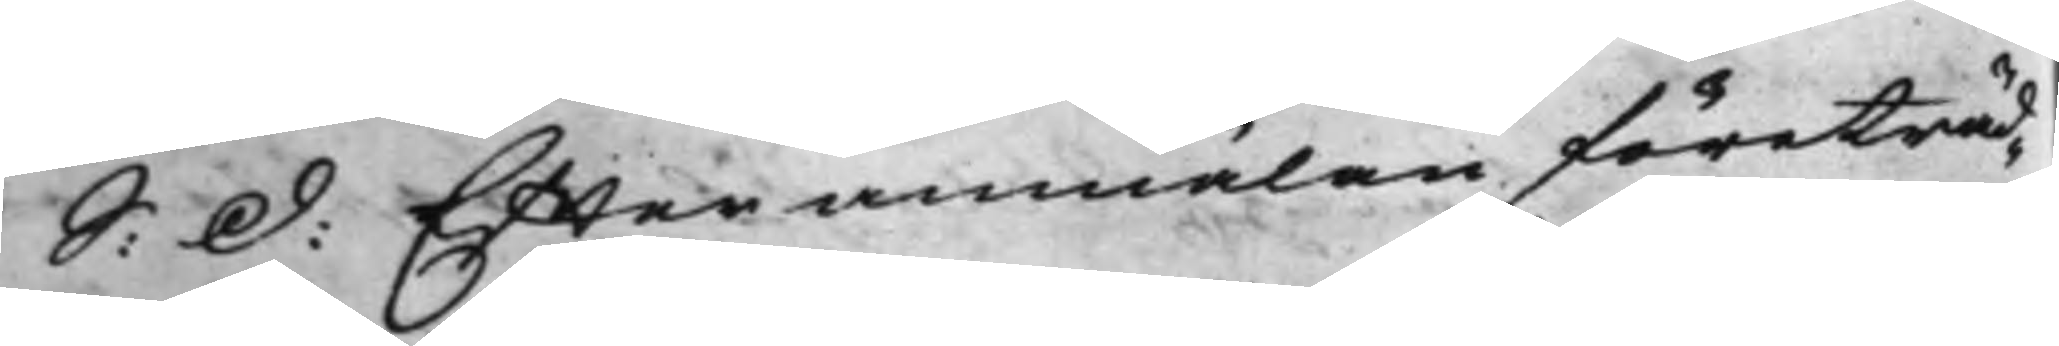S: d: Effter anmälan företräd¬
